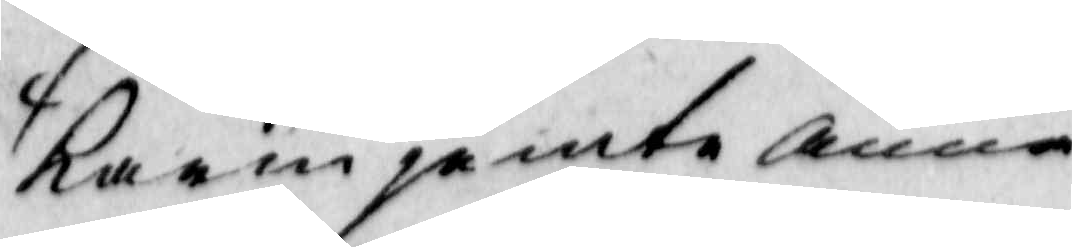Karin påminte anna
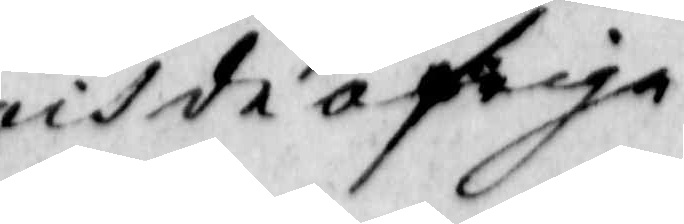och de öfriga
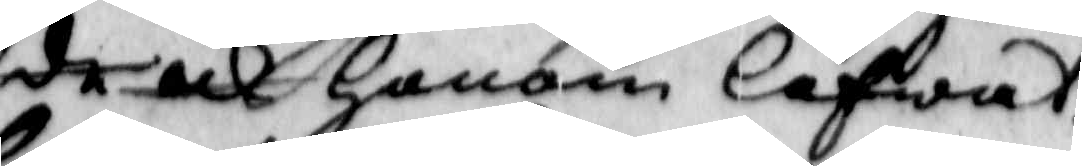de ock Honom låfwat,
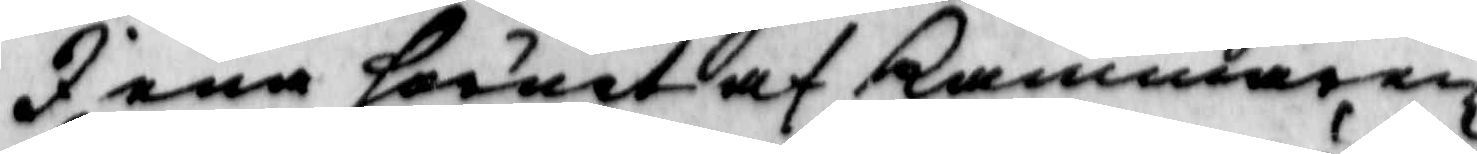I ena hörnet af kammaren
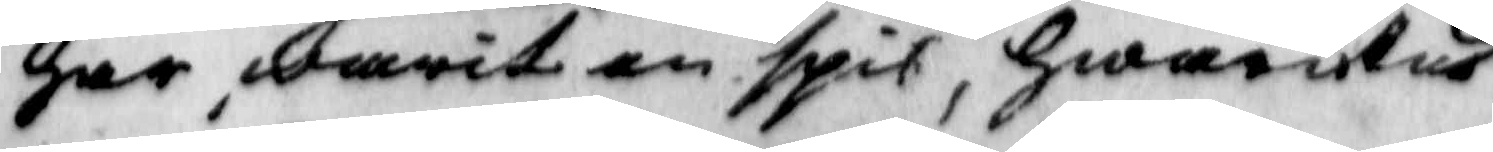har warit än spis, Hwarutur
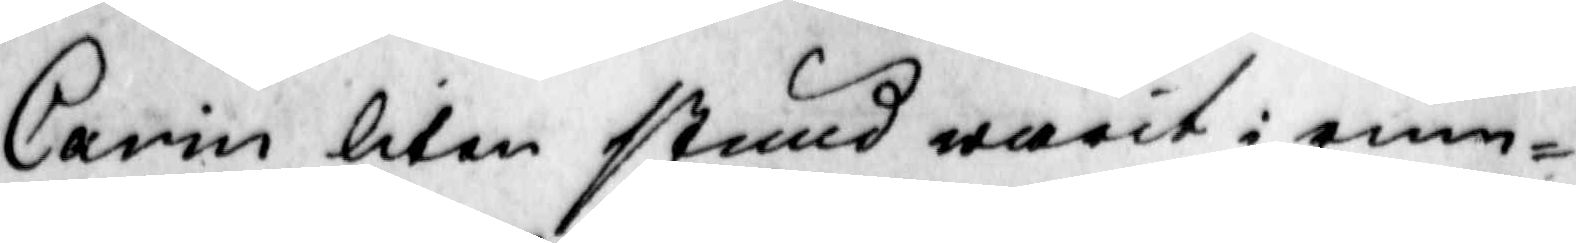Carin liten stund warit i rum¬
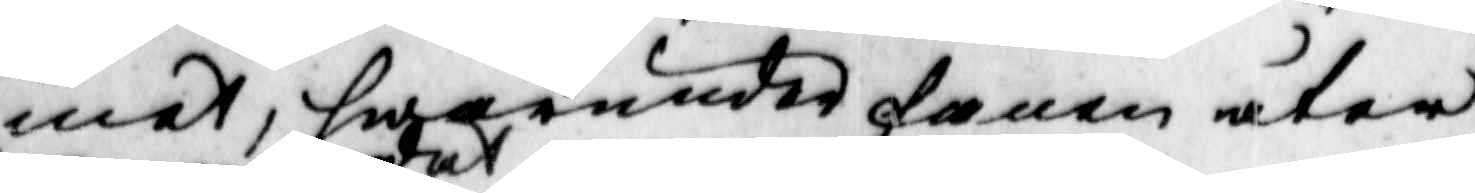met, hwarunder fanen åter
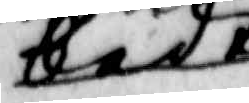bedt
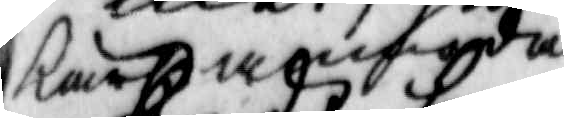kar annadat
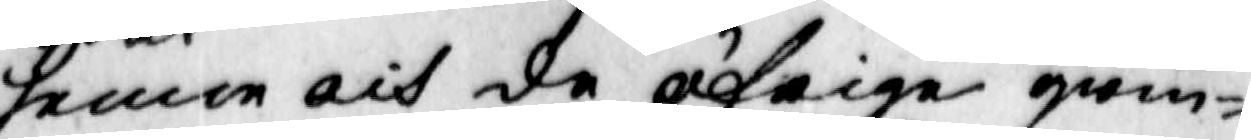henne och de öfrige qwin¬
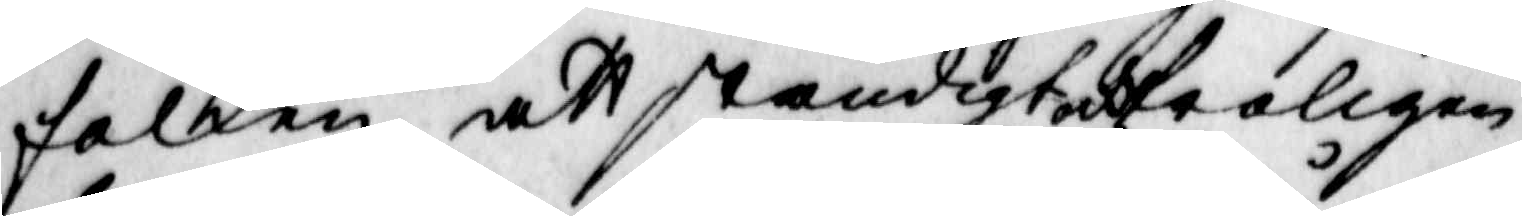folken att ständigt och troligen
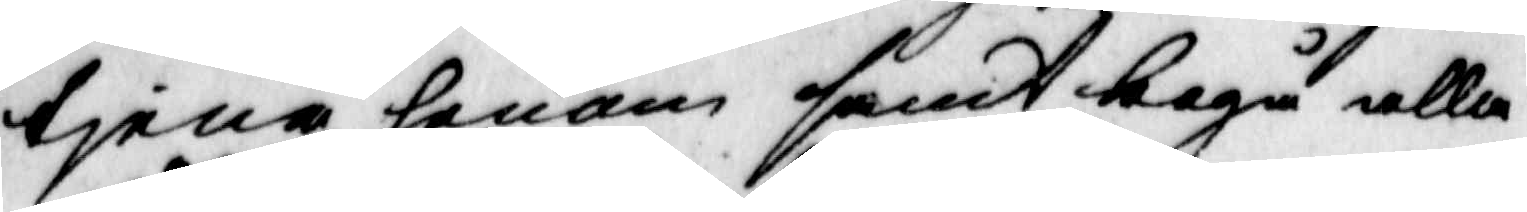tiena honom samt begå alla
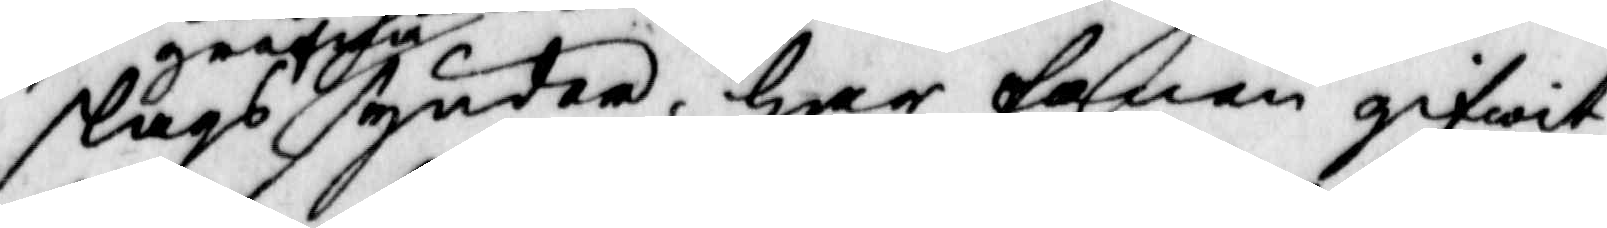slags grofwa synder, Har fanen gifwit
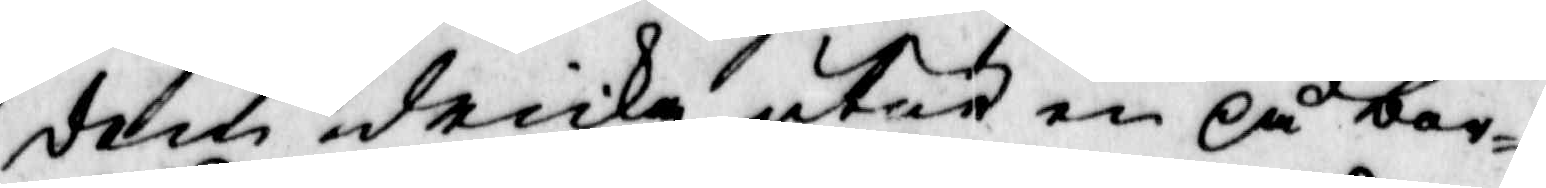dem dricka utur en på bor¬
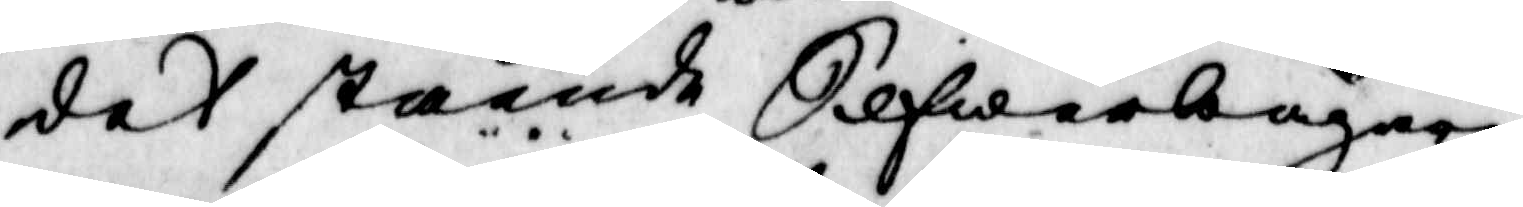det stående Silfwerbägare;
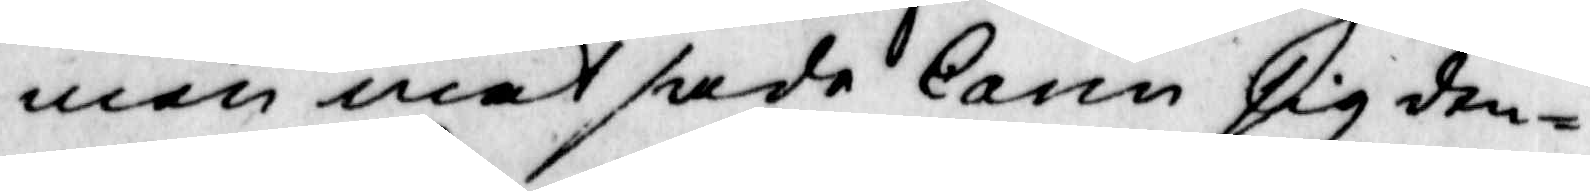men mat sade Carin sig den¬
